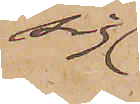sig
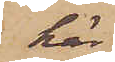här
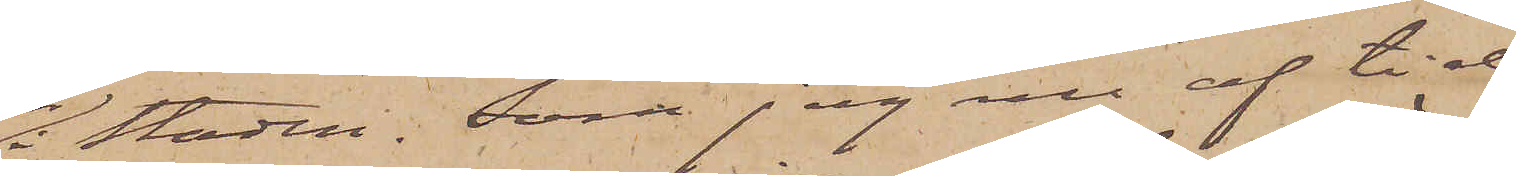i Staden. Som jag nu af tid¬
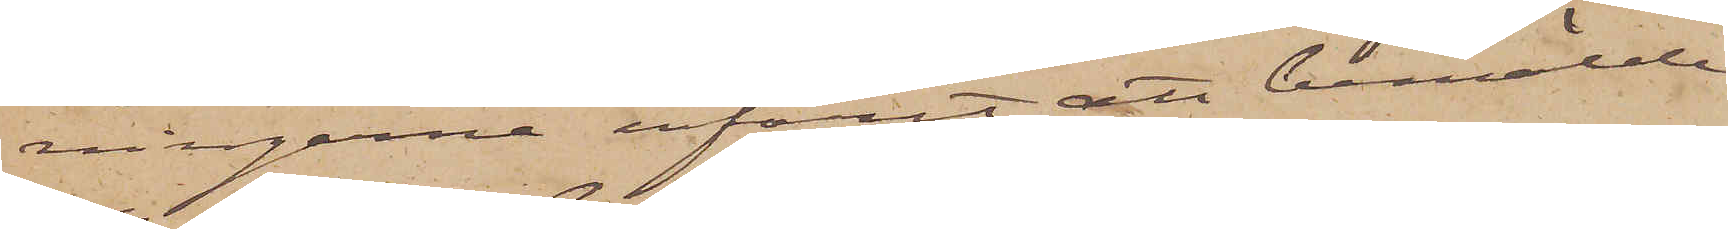ningarna erfarit att bemälde
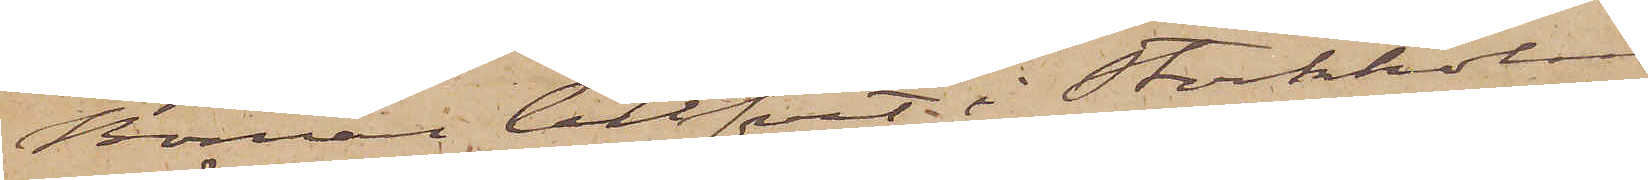Boman blifvit i Stockholm
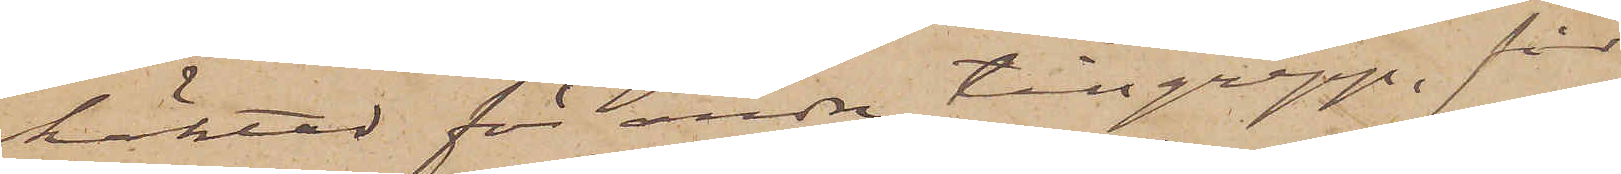häktad för andra tillgrepp, får
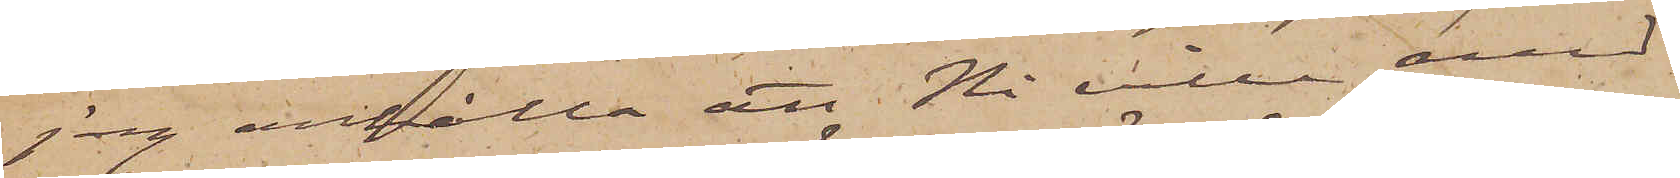jag anhålla att Ni ville med
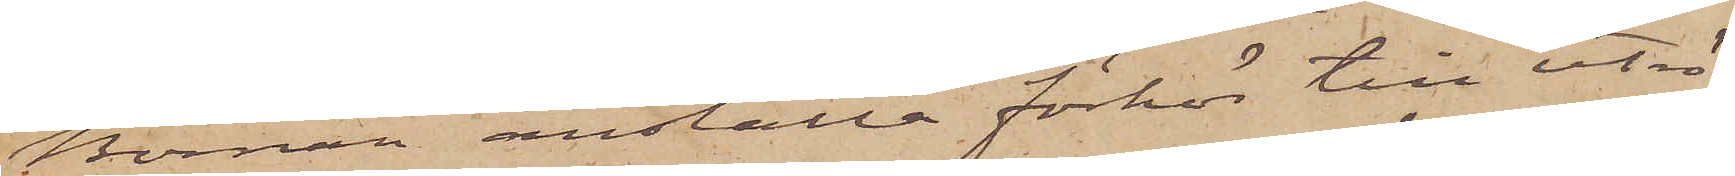Boman anställa förhör till utrö¬
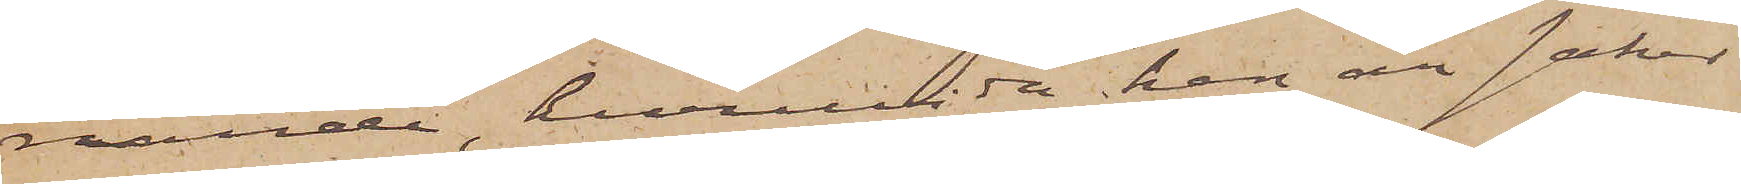nande, huruvida han är saker
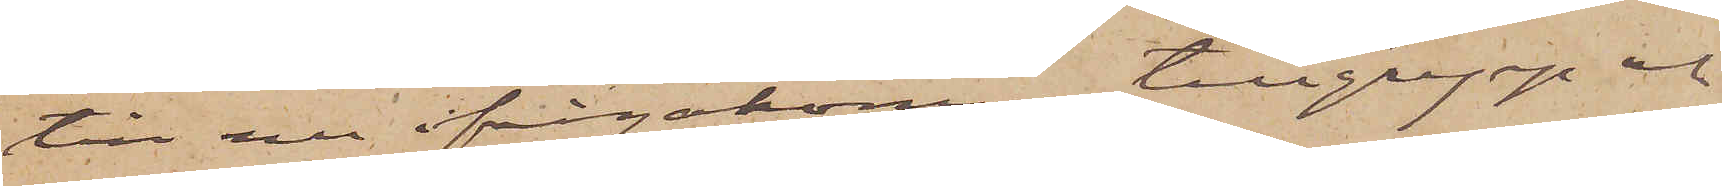till nu ifrågakomne tillgrepp och
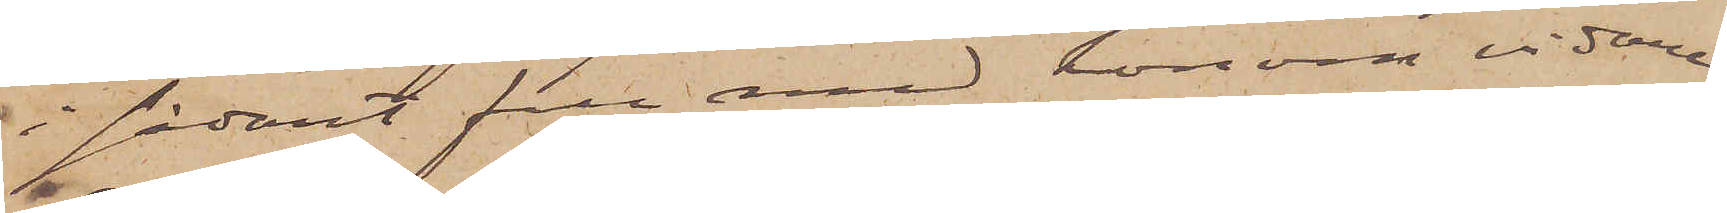i sådant fall med honom vidare
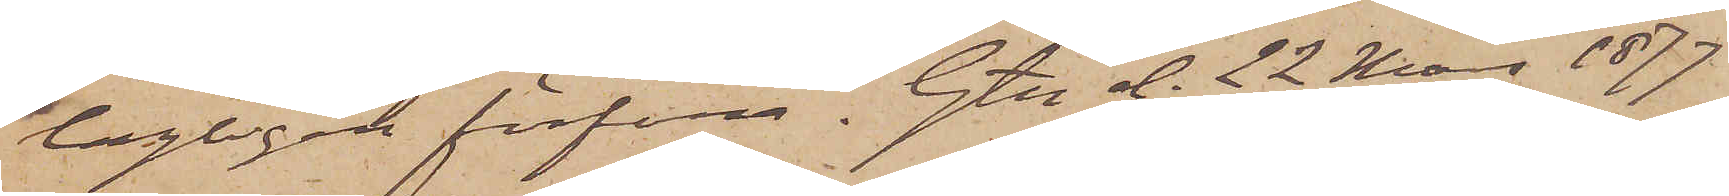lagligen förfara. Gtg d. 22 Mars 1877
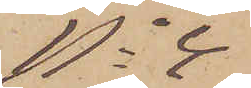No 4
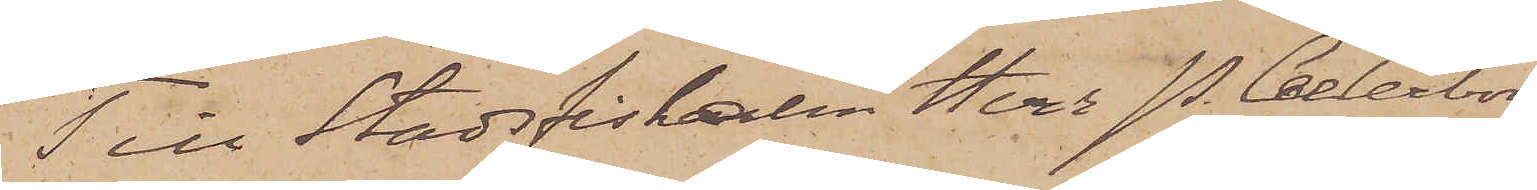Till Stadsfiskalen Herr P. Cederborg
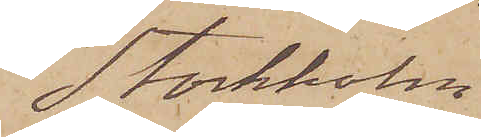Stockholm
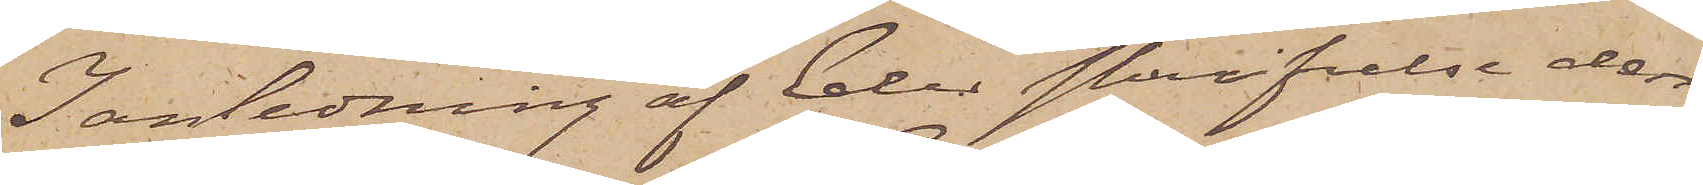I anledning af Eder skrifvelse den
